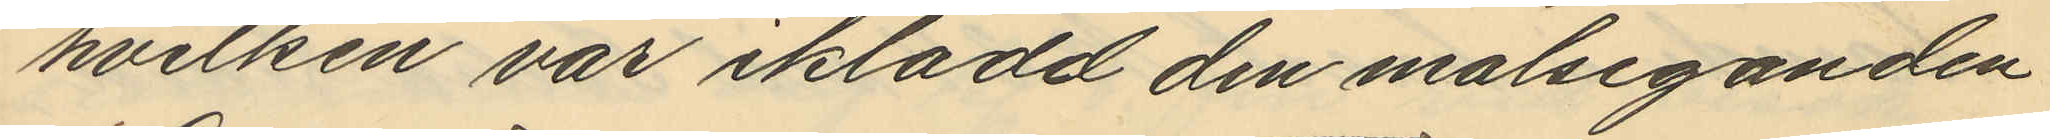hvilken var iklädd den målseganden
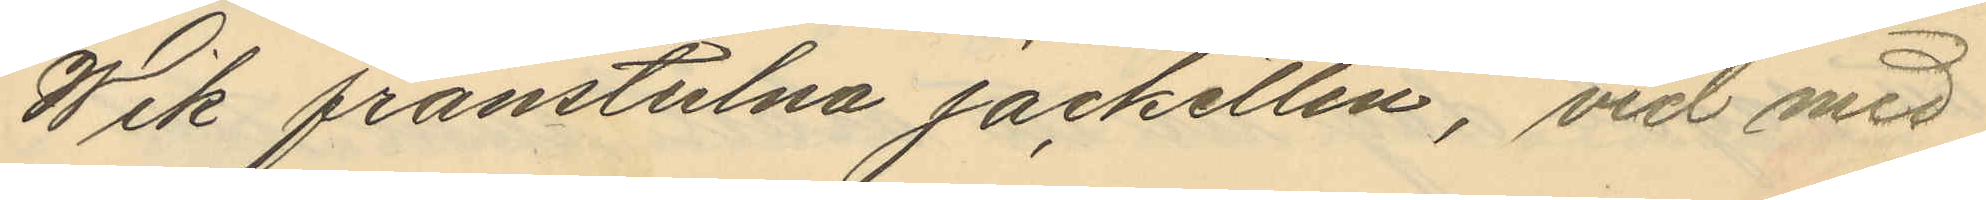Wik frånstulna Jacketten, vid med
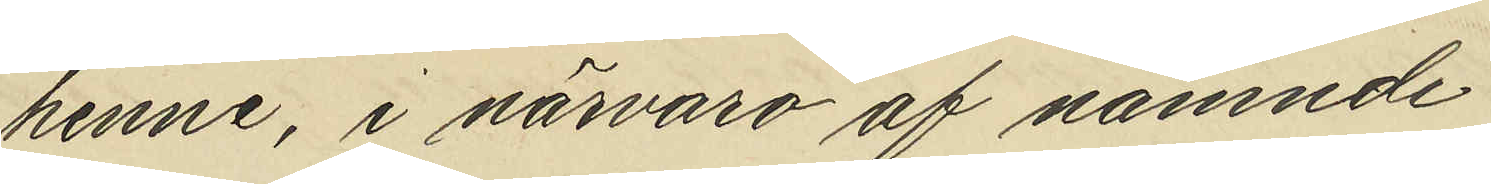henne, i närvaro af nämnde
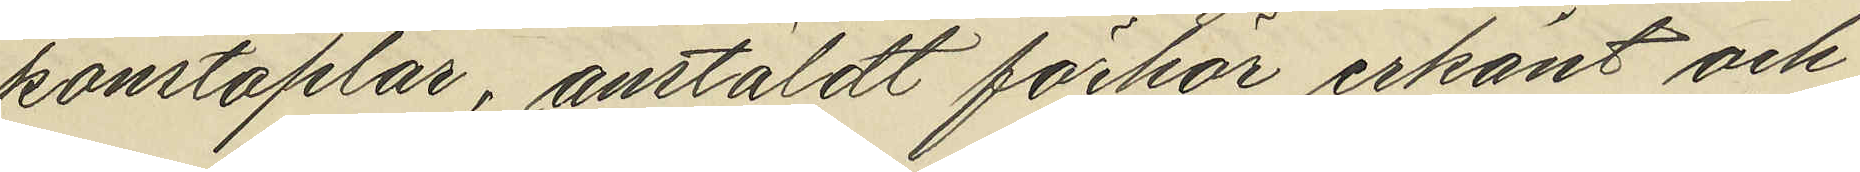konstaplar, anstäldt förhör erkänt och
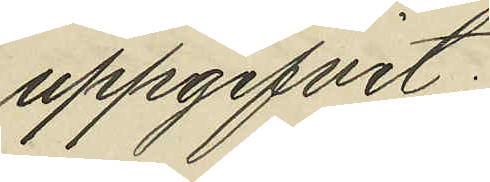uppgifvit;
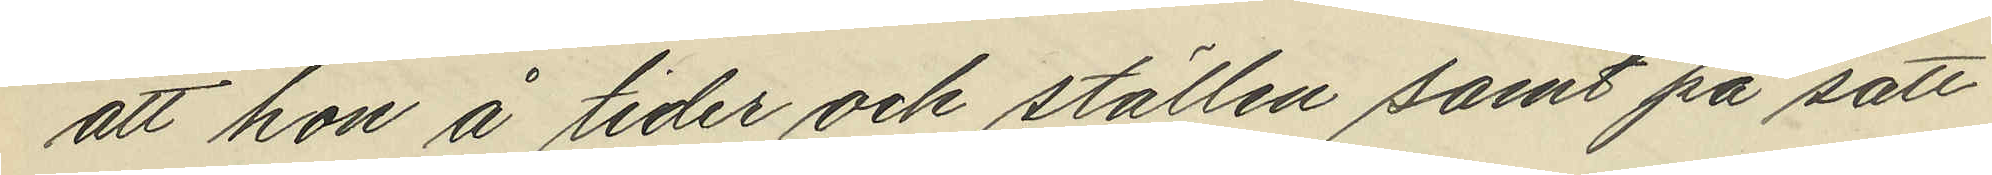att hon å tider och ställen samt på sätt
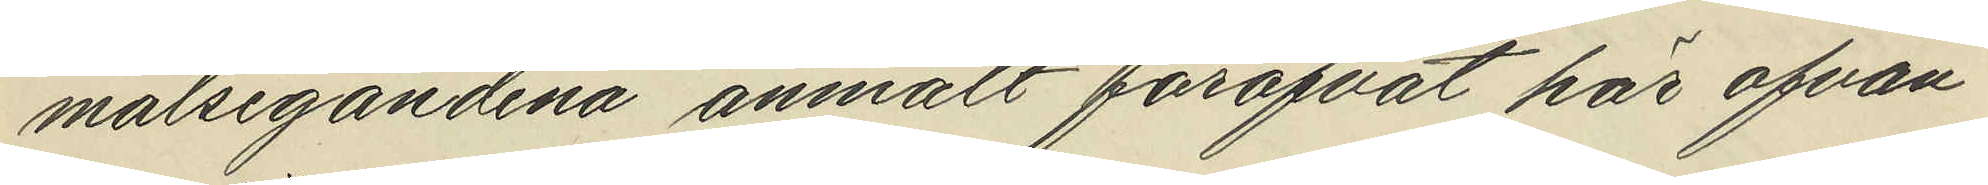målsegandena anmält föröfvat här ofvan¬
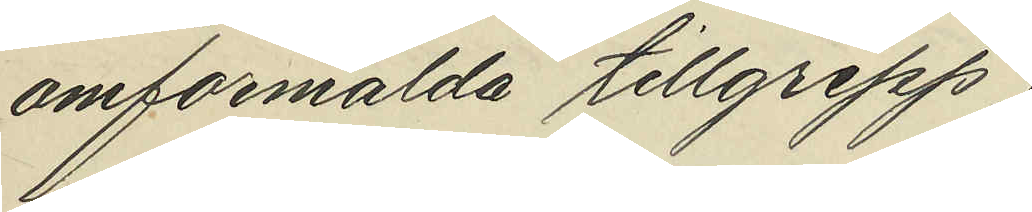omförmälda tillgrepp
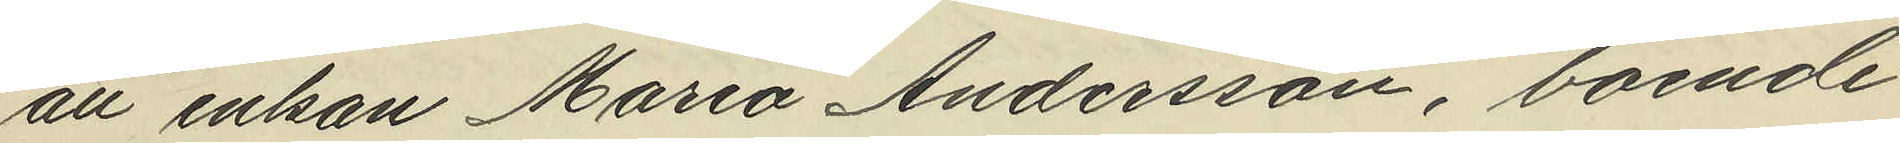att enkan Maria Andersson, boende
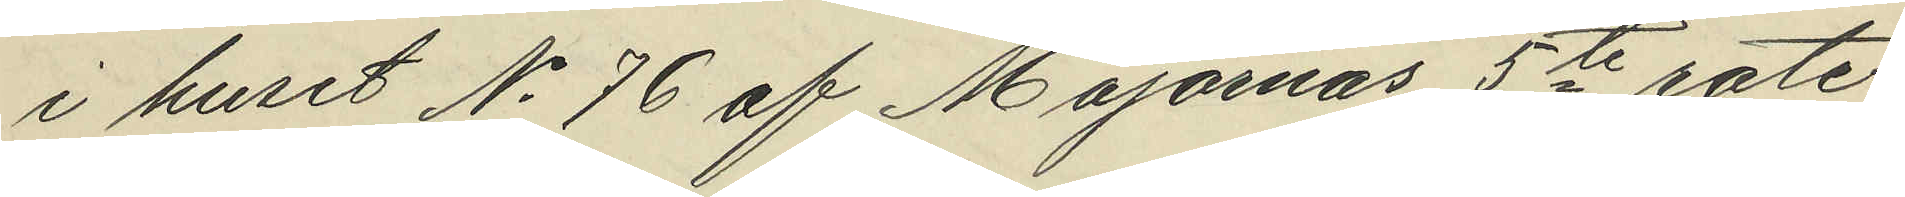i huset No 76 af Majornas 5te rote
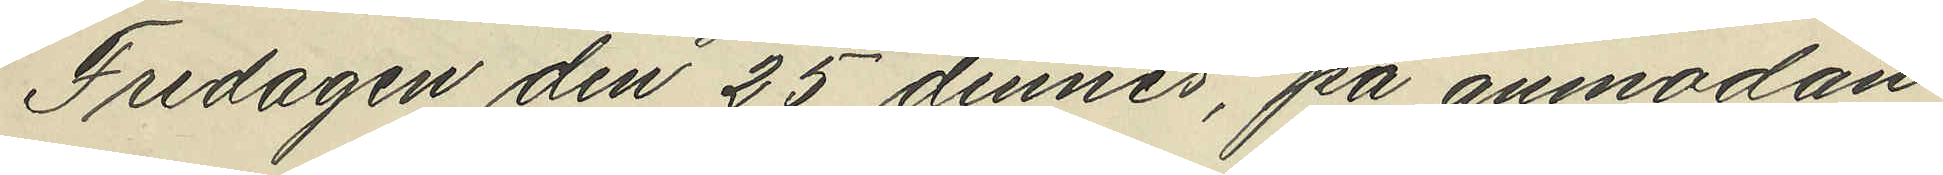Fredagen den 25 dennes, på anmodan
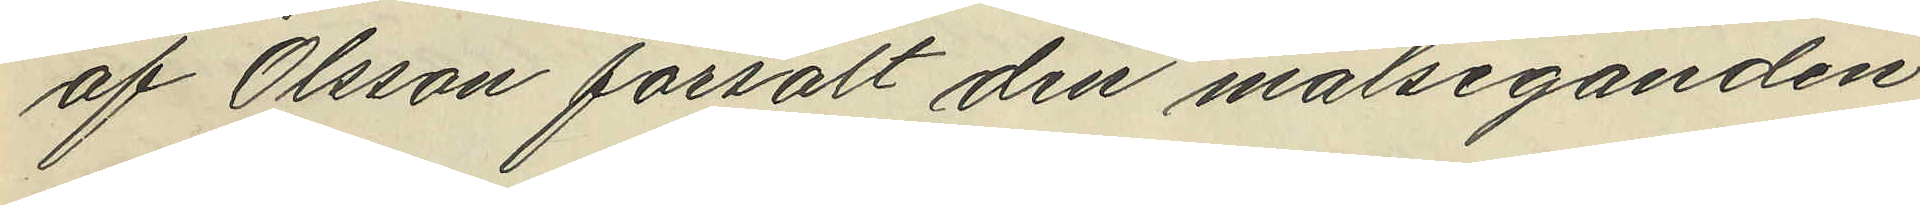af Olsson försålt den målseganden
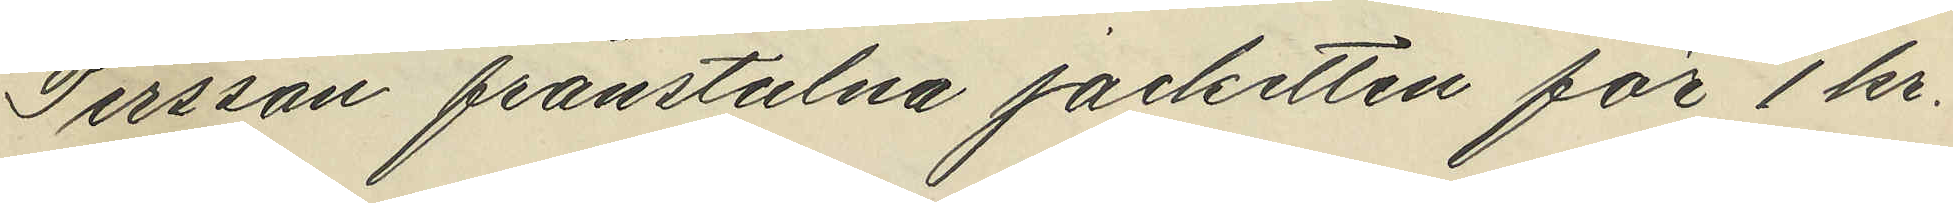Persson frånstulna jacketten för 1 kr.
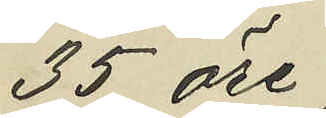35 öre;
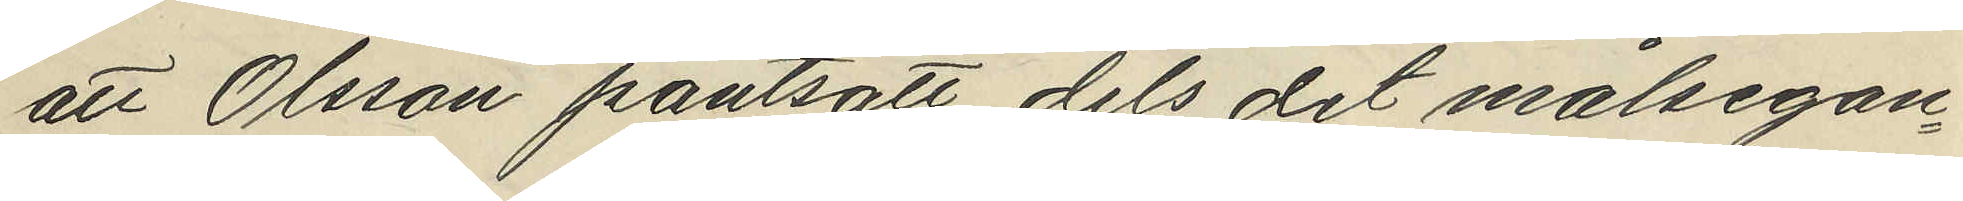att Olsson pantsatt dels det målsegan¬
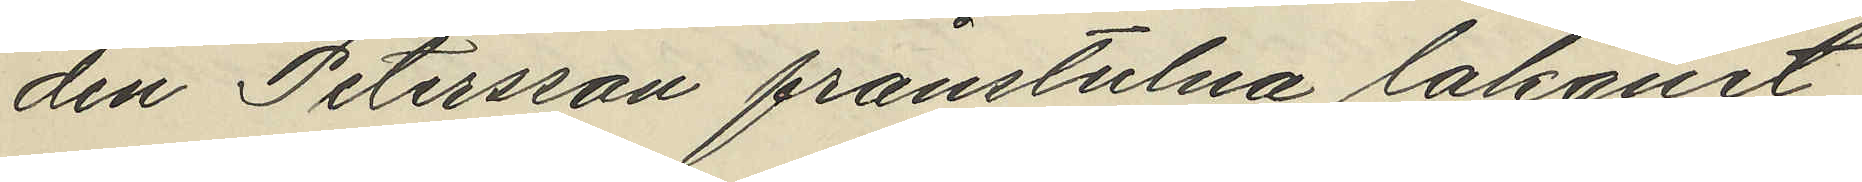den Petersson frånstulna lakanet
